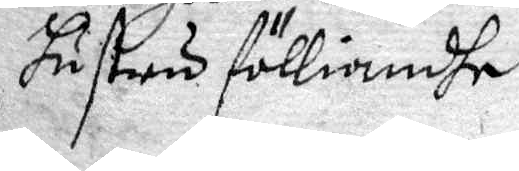hustru fölliandhe
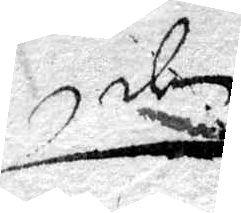...
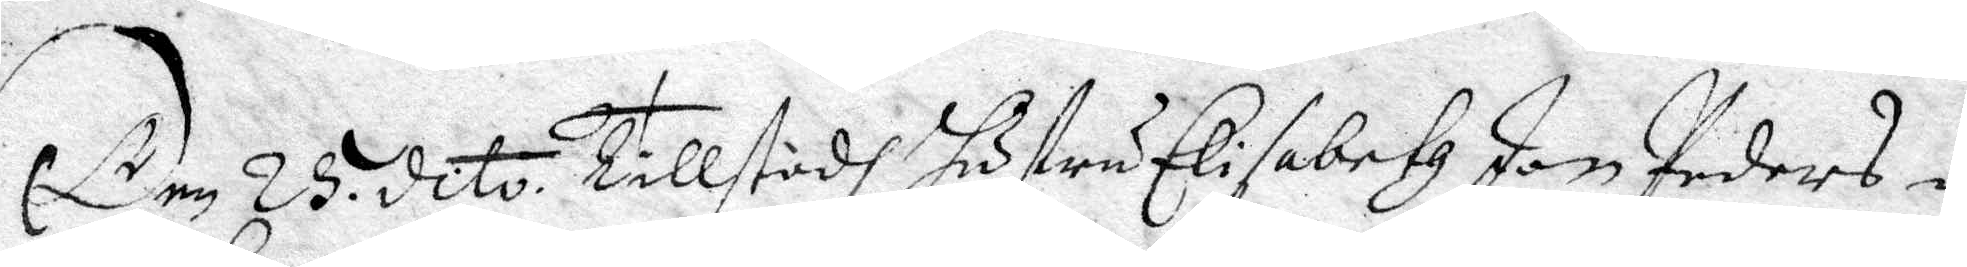Den 25 dito. Tillstodh hustru Elisabeth Jon Peders i
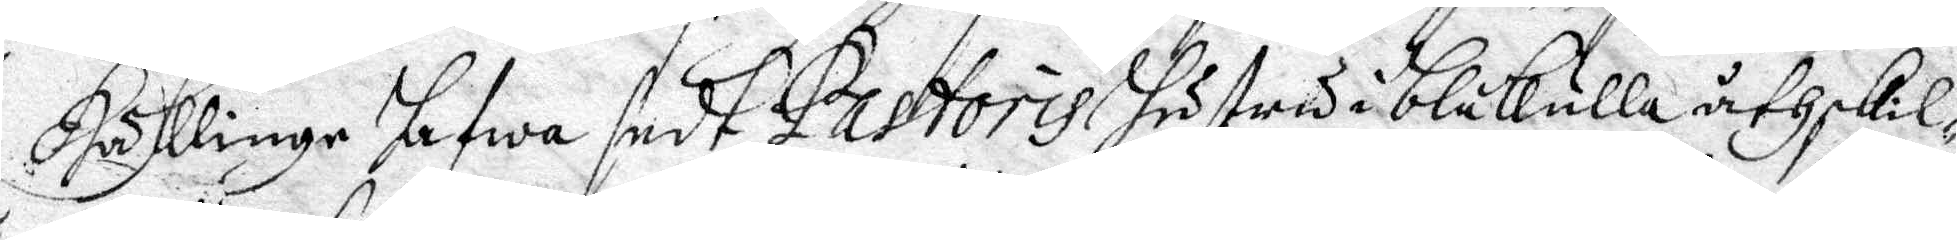Hässlinge hafwa sedt Pastoris hustru i Blåkulla åthskil¬
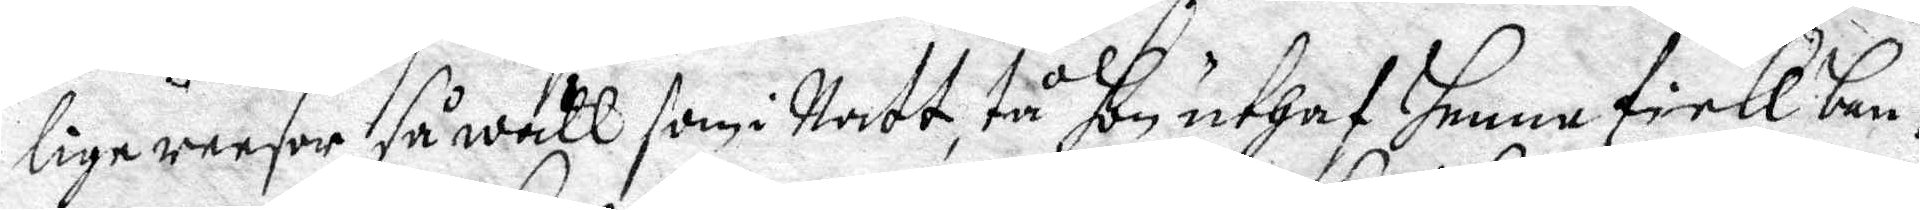lige reesor så wäll som i Natt, tå hon uthaf henne sielff ban¬
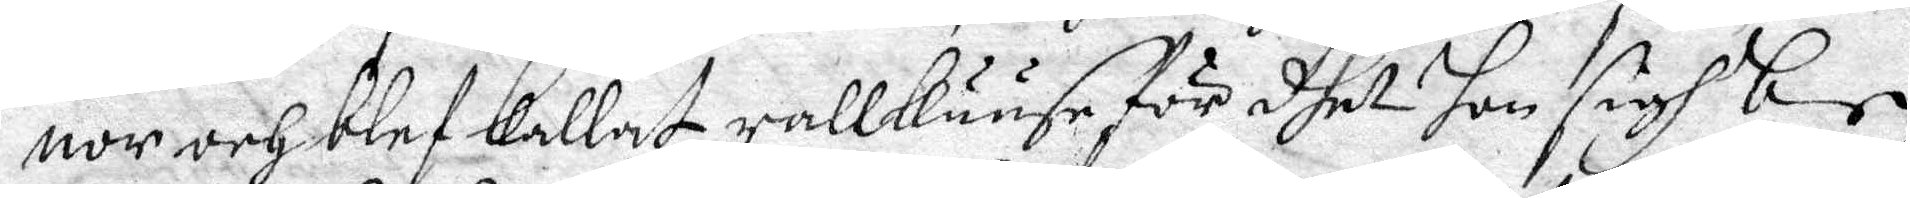nor och blef kallat rallkuuse för dhet hon sigh be¬
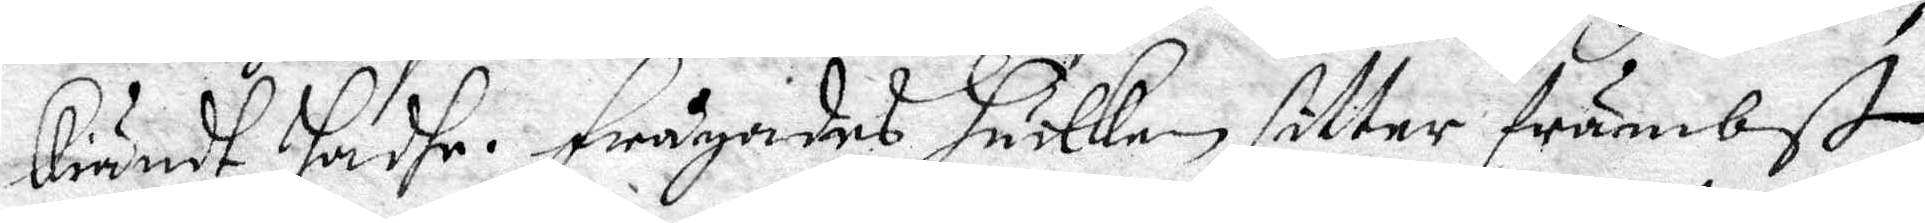kiändt hafhe. Frågades huilken sitter främbst
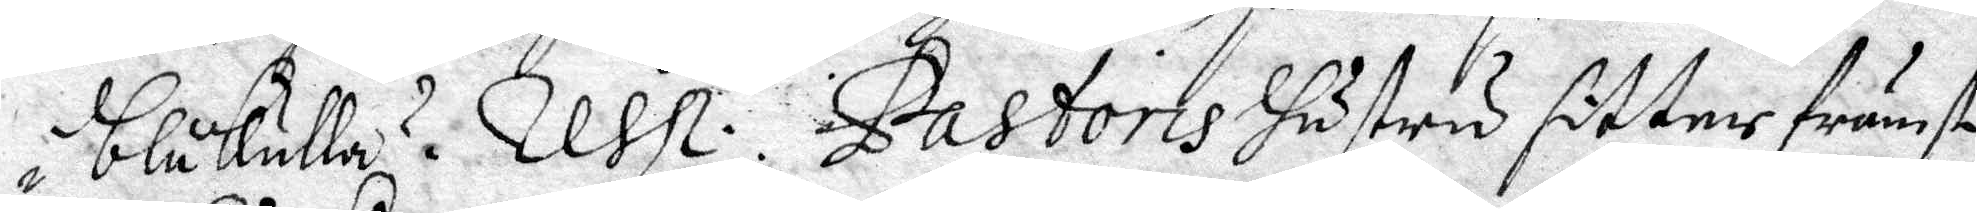i blåkulla? Resp: Pastoris hustru sitter främst
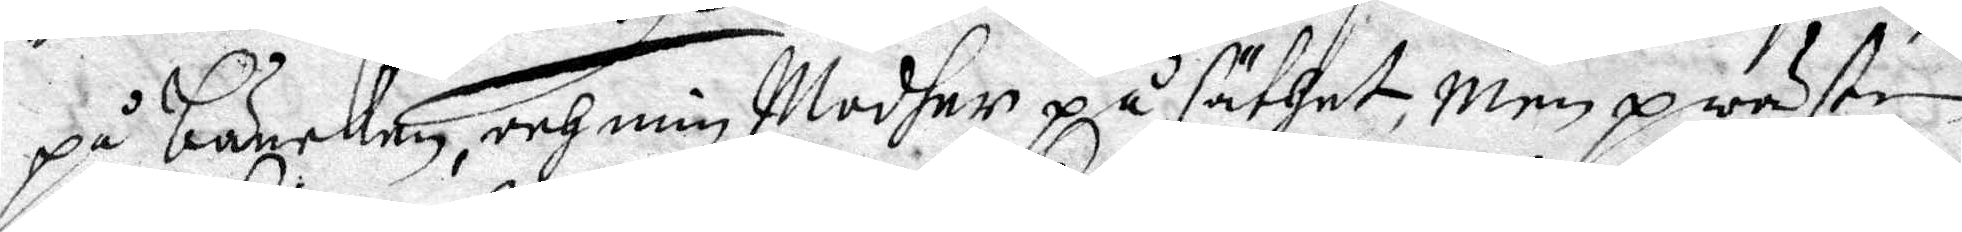på bänken, och min Modher på säthet, men prästen
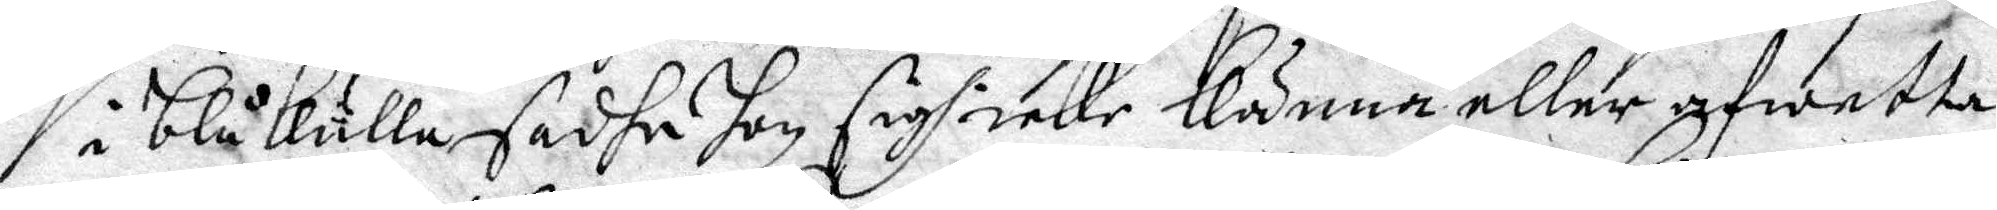i blåkulla sadhe hon sigh icke känna eller afwetta.
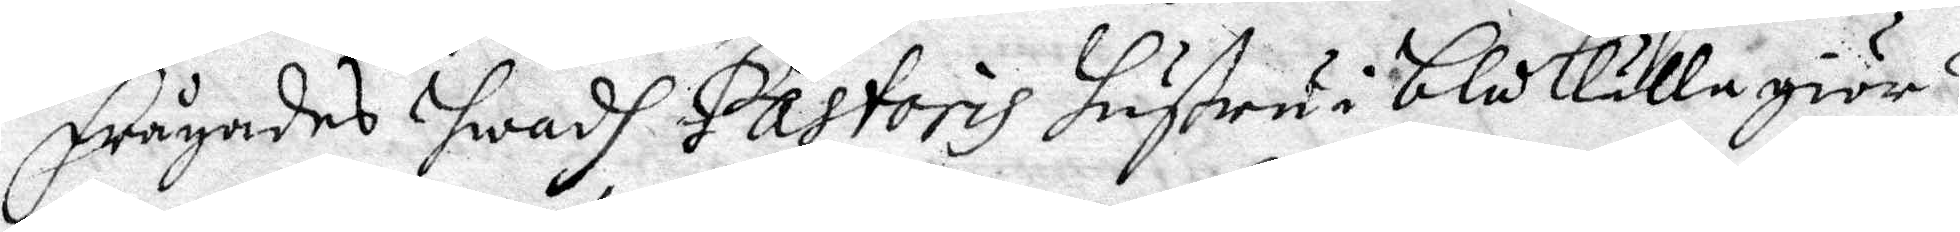Frågades hwadh Pastoris hustru i Blåkulla giör?
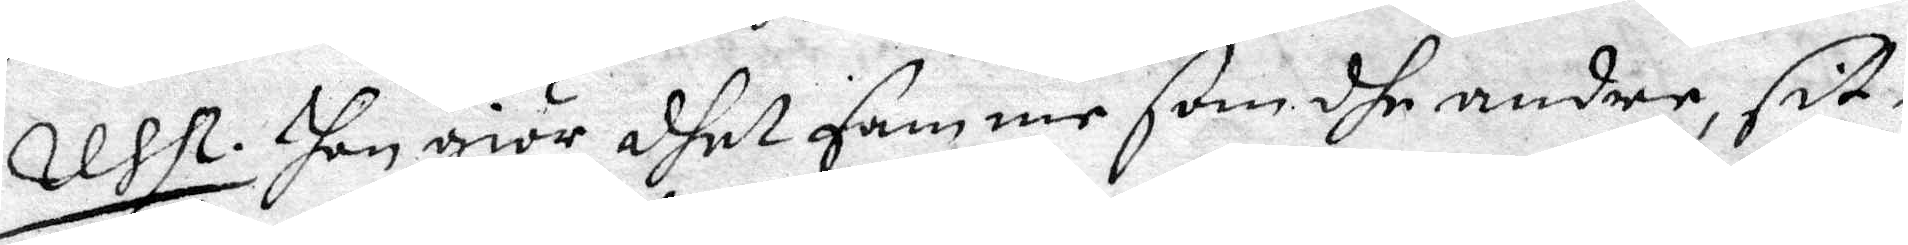Resp. Hon giör dhet samme som dhe andre, sit¬
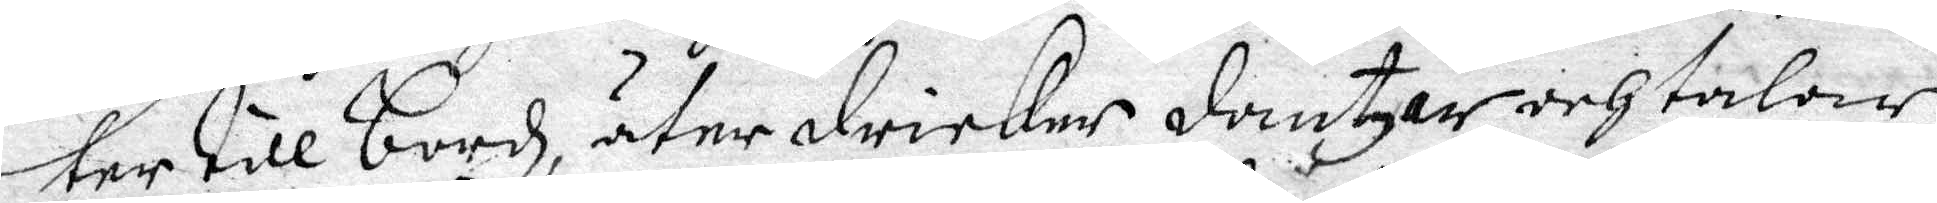ter till Bordz, äter dricker dantzar och talar
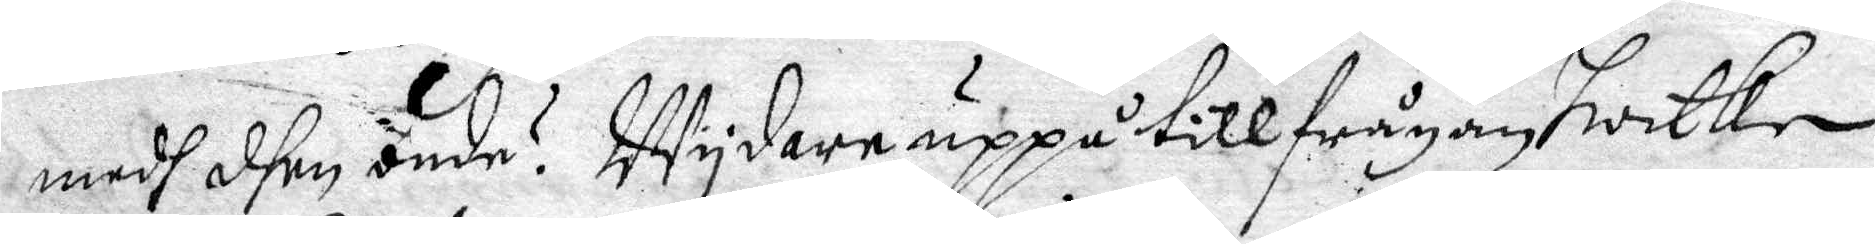medh dhen onde? Wydare uppå tillfrågan hwilke			
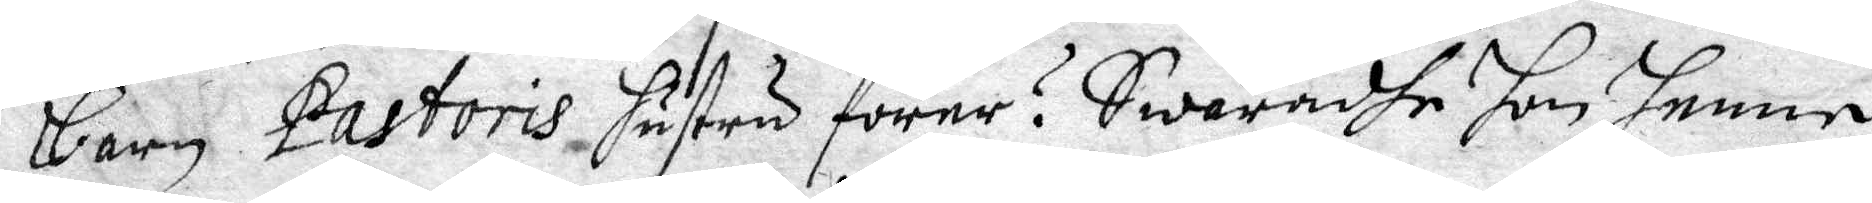barn Pastoris hustru förer? Swaradhe hon henne
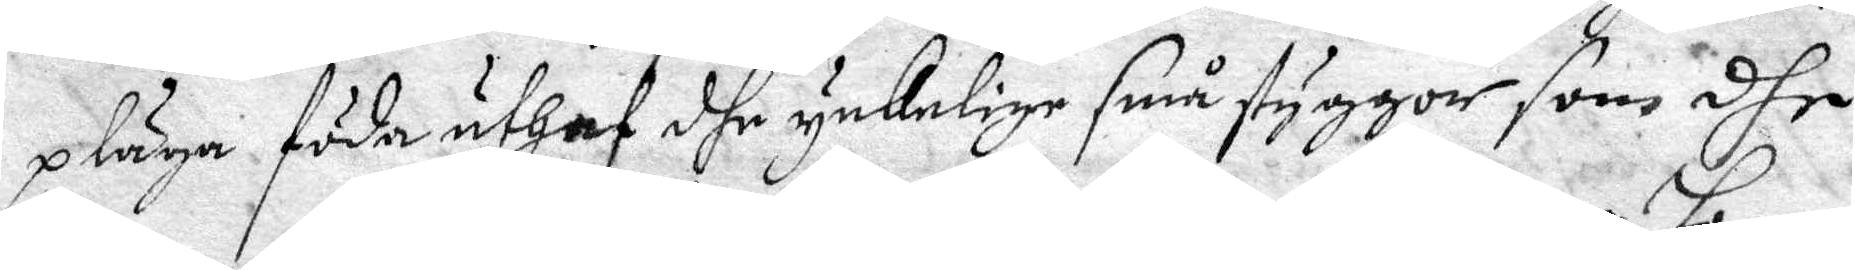pläga föda uthaf dhe ynkelige små styggor, som dhe
